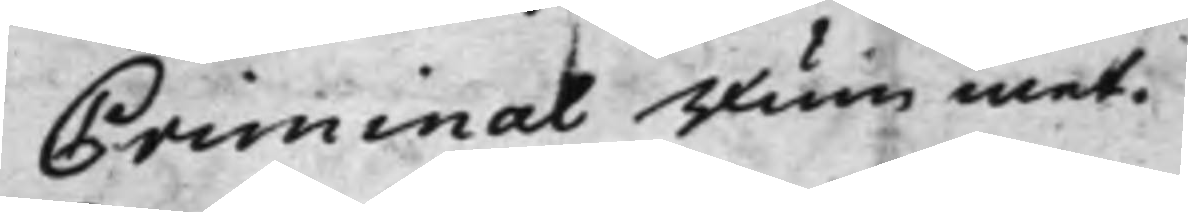Criminal Rummet.
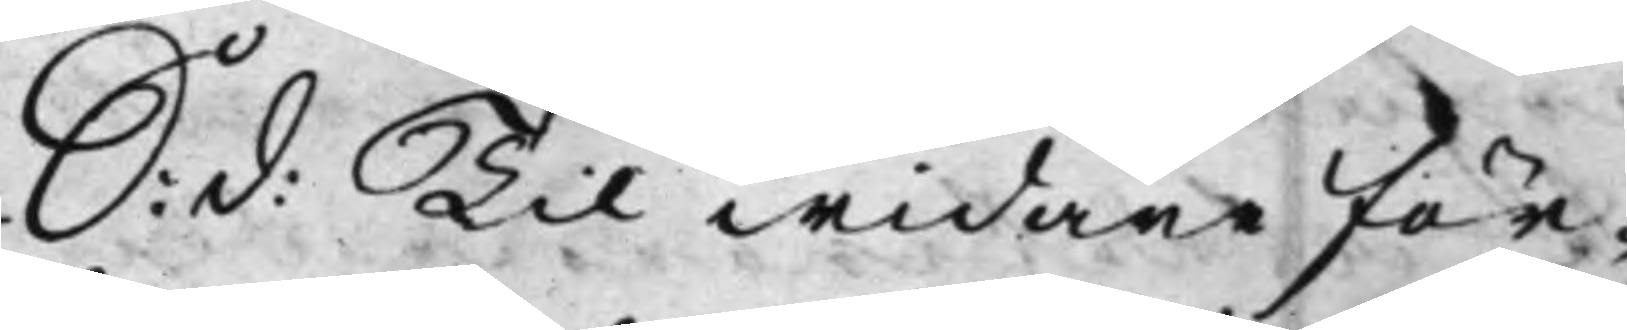S: d: Til widare för¬ 
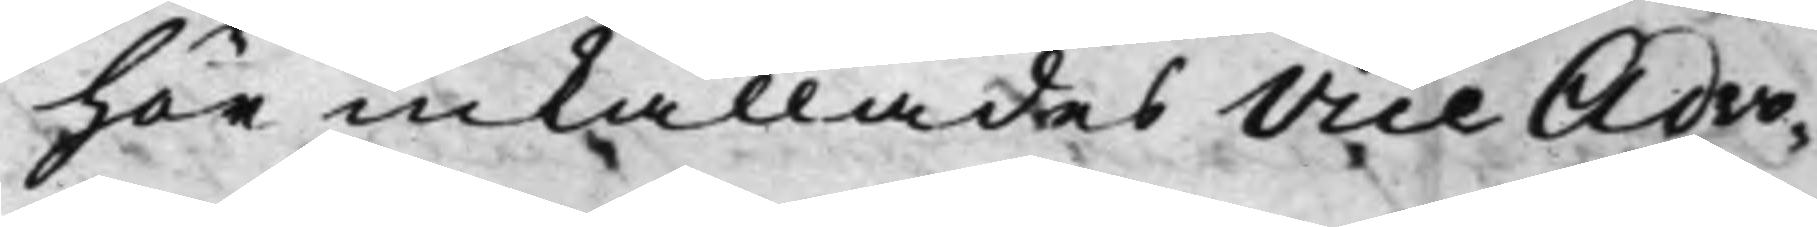hör inkallades Vice Advo¬
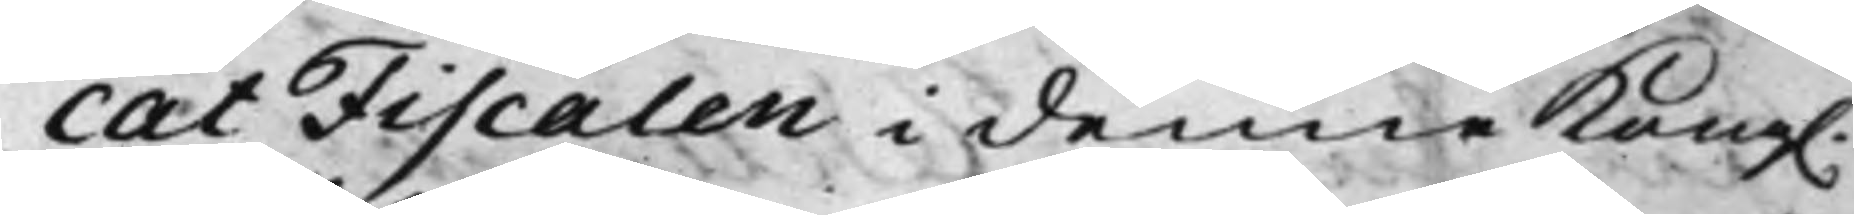catFiscalen i denne Kong. 
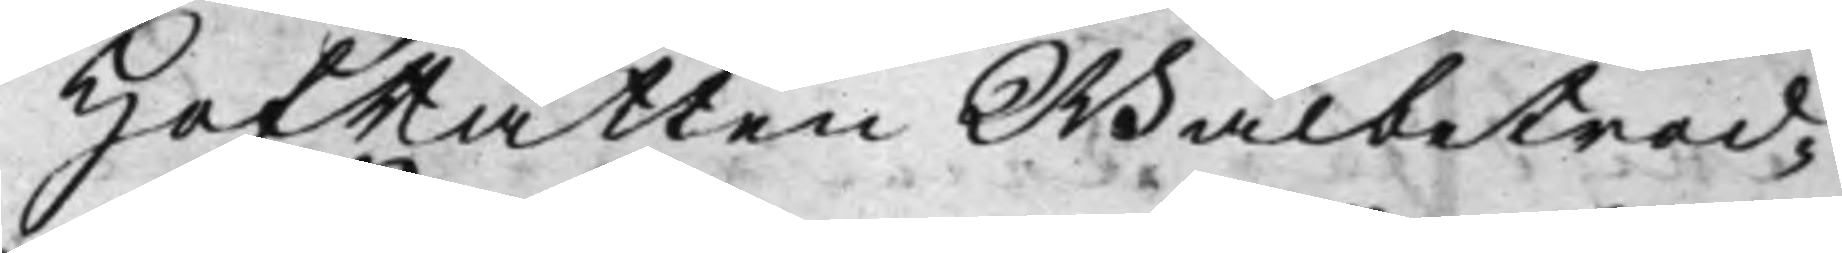HofRätten Wälbetrod¬
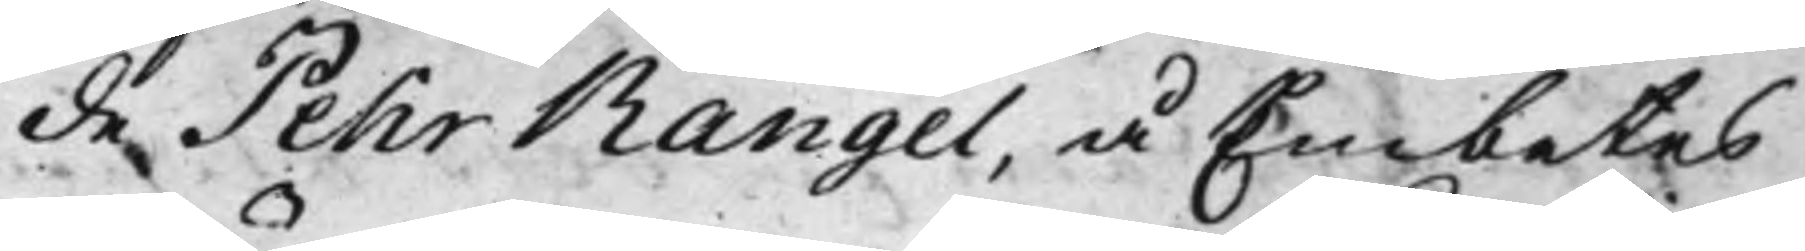de Pehr Rangel, å Embetes
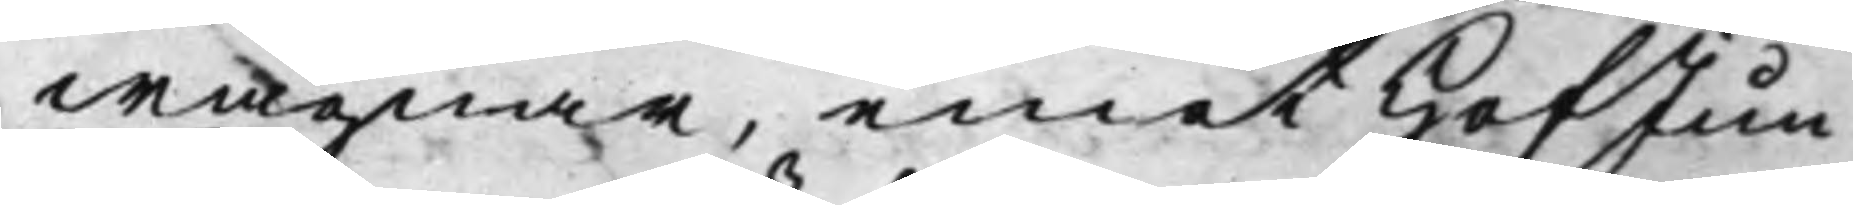wägnar, emot HofJun¬
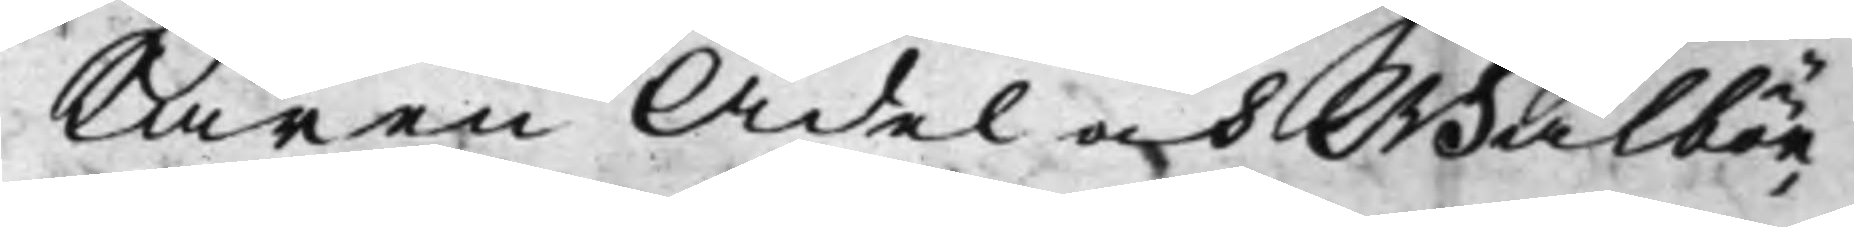Karen Ädel och Wälbör¬
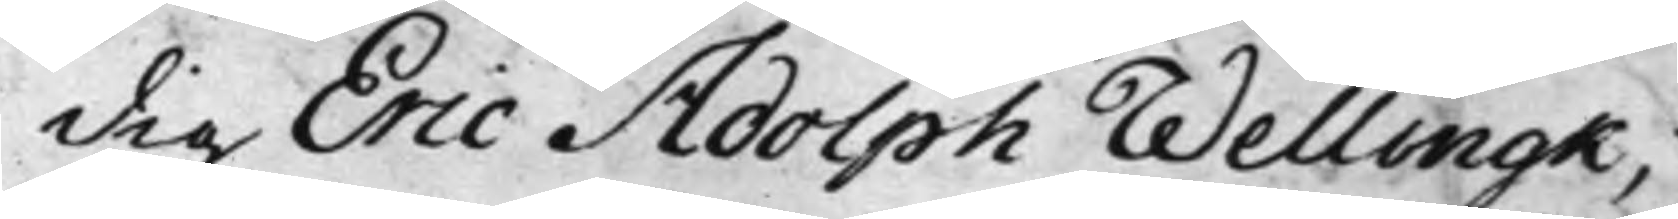dig Eric Adolph Wellingk;
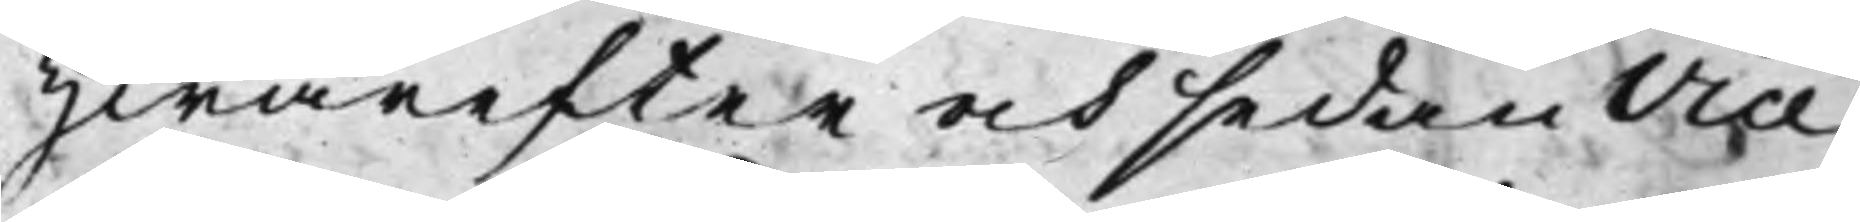Hwarefter och sedan Vice
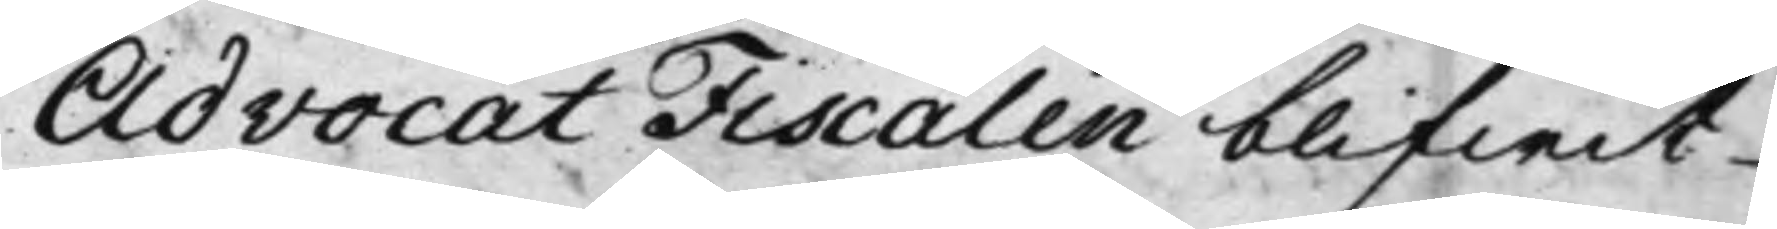AdvocatFiscalen blifwit
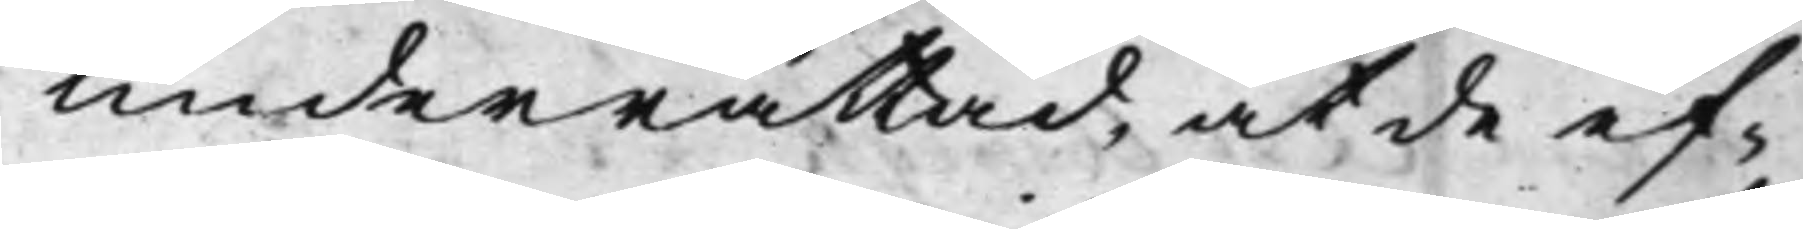underrättad, at de ef¬
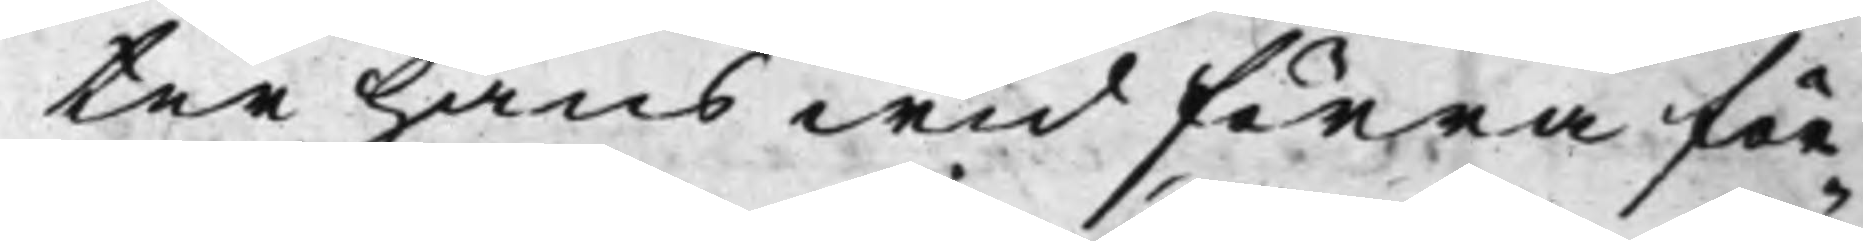ter hans wid förra för¬
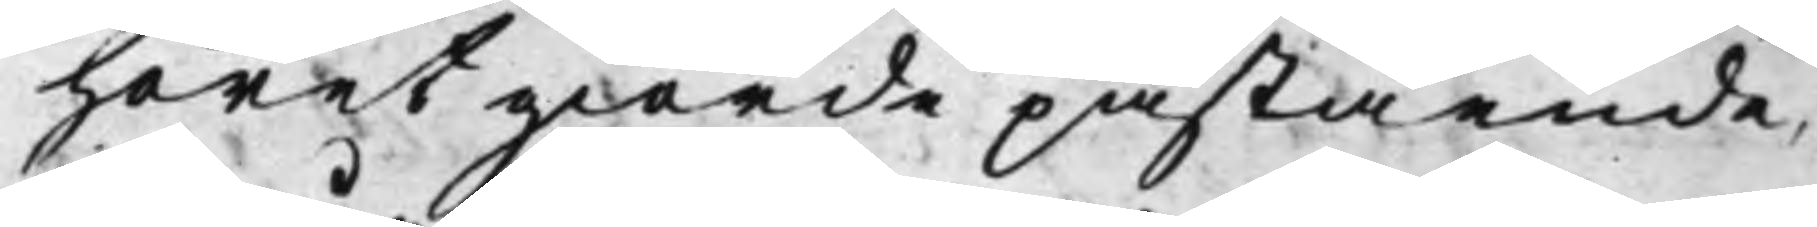höret giorde påstående,
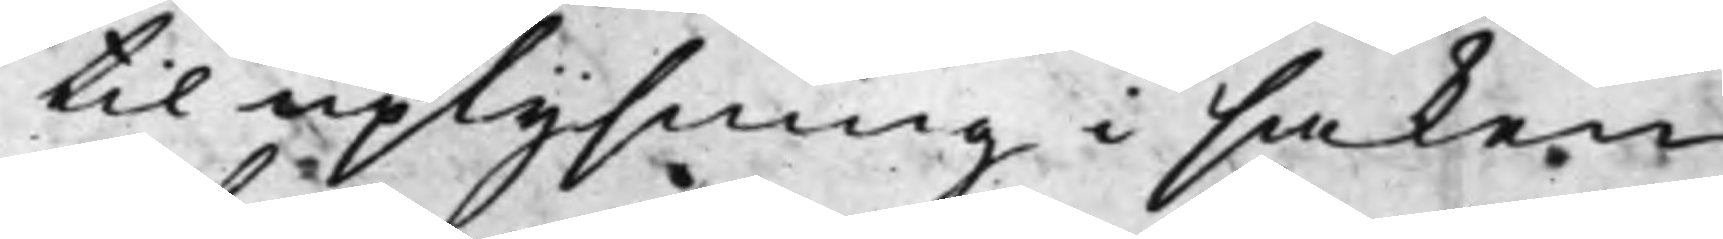til uplysning i saken
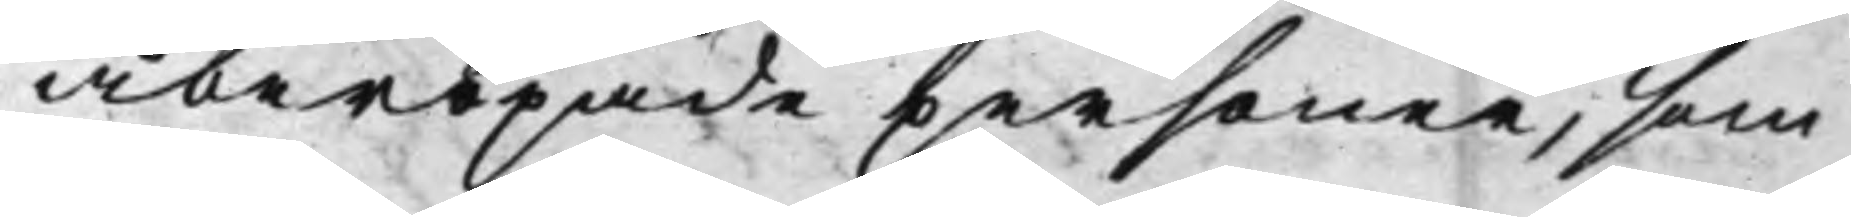åberopade personer, som
